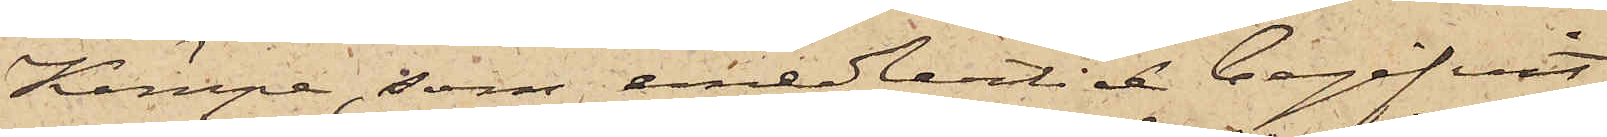Kämpe, som emedlertid begifvit
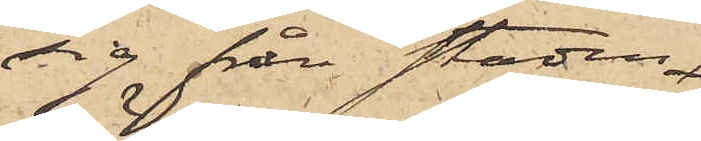sig från staden
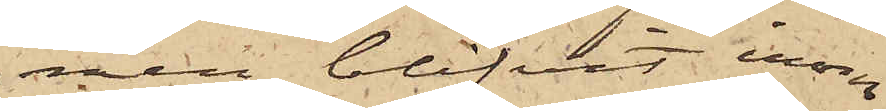men blifvit inom
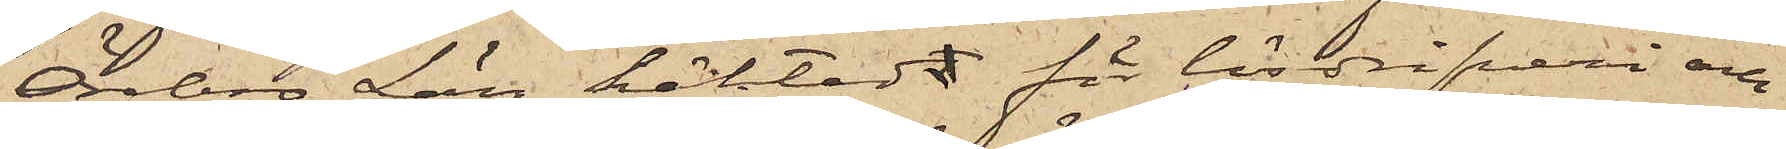Örebro Län häktad för lösdrifveri och
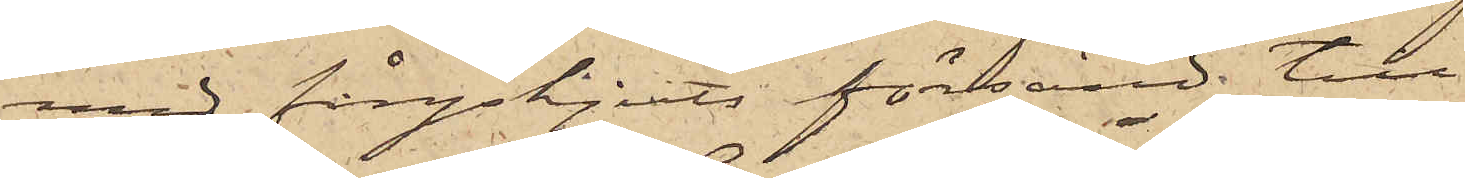med fångskjuts försänd till
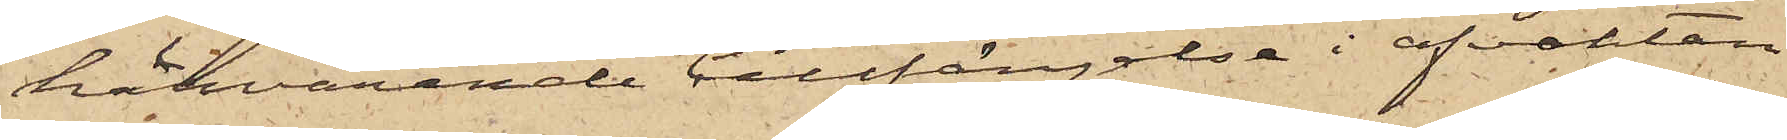härvarande Cellfängelse i afvaktan
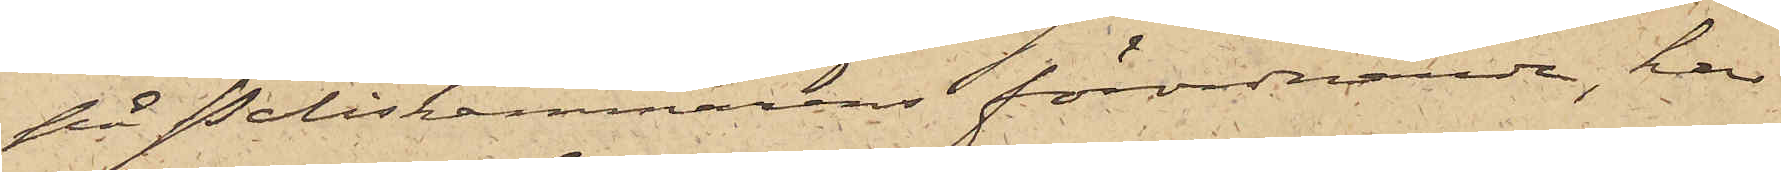på Poliskammarens förordnande, har
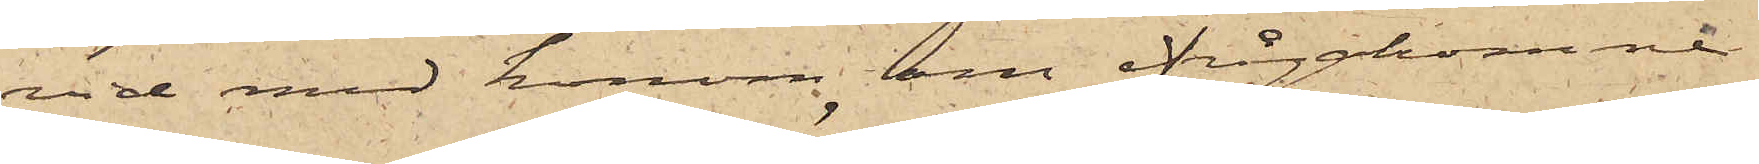vid med honom om ifrågakomne
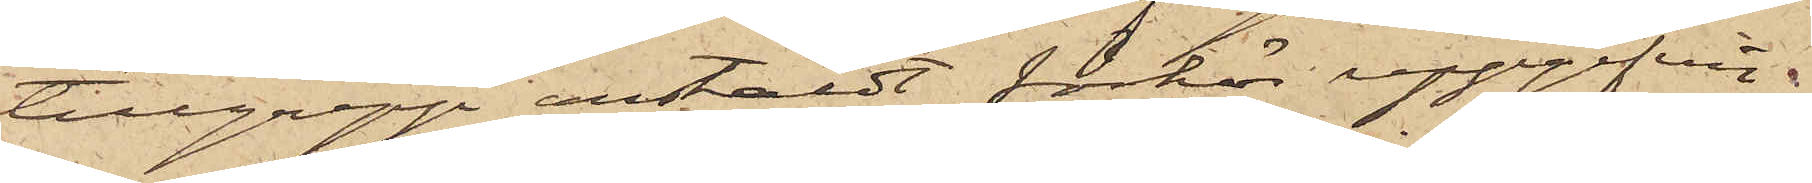tillgrepp anstäldt förhör uppgifvit.
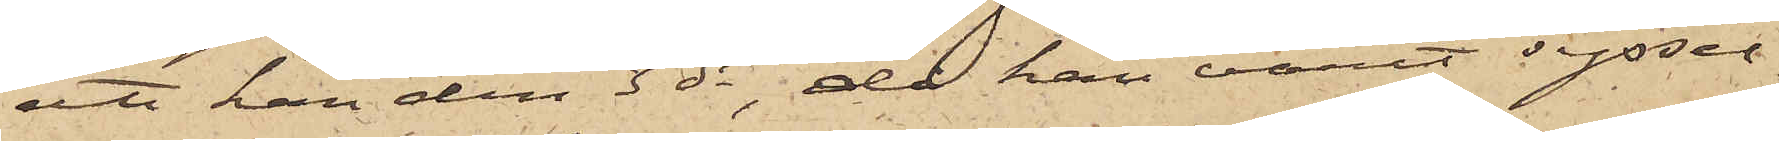att han den 3 ds, då han varit syssel¬
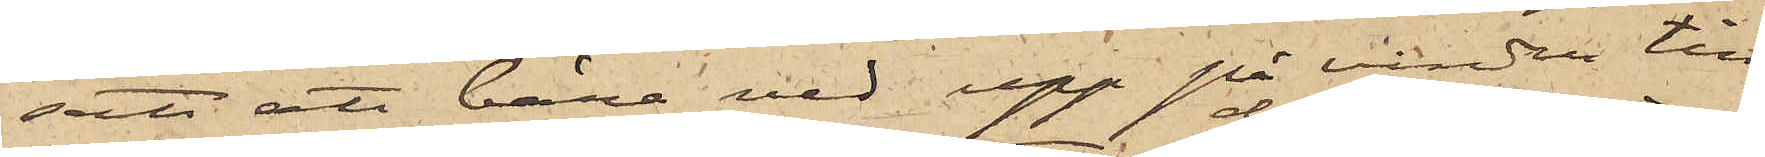satt att bära ved upp på vinden till
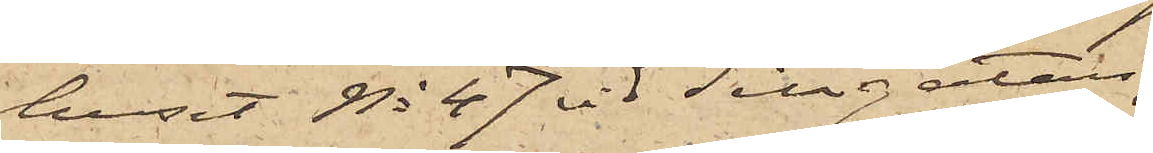huset No 47 vid Sillgatan,
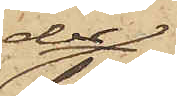der
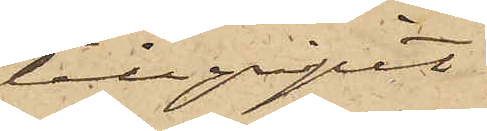tillgripit
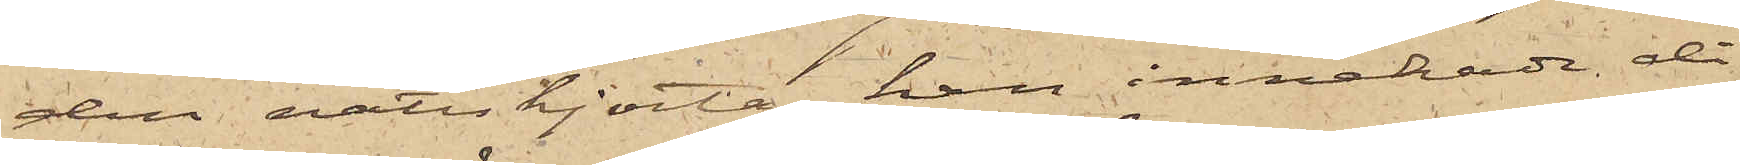den nattskjorta, han innehade då
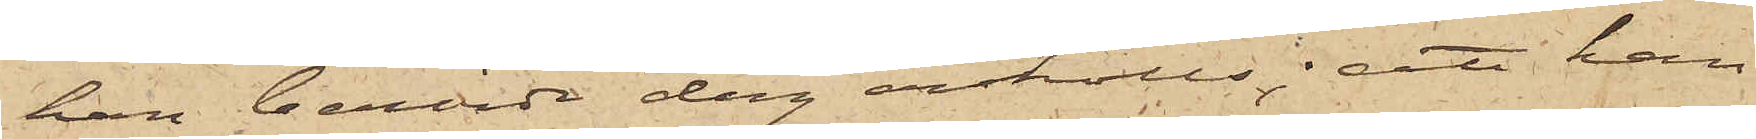han berörde dag anhölls; att han
